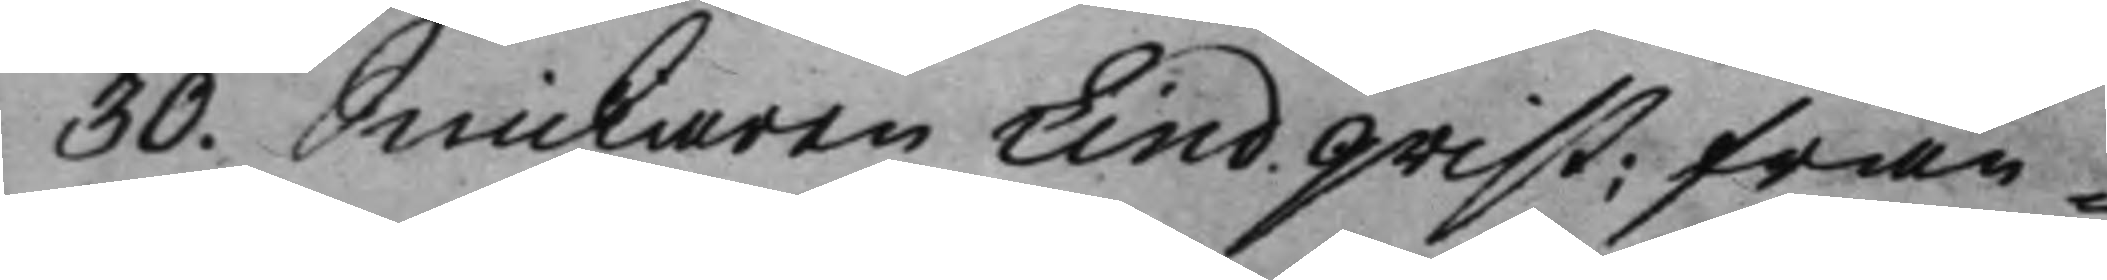30. Snickaren Lindqvist; från¬
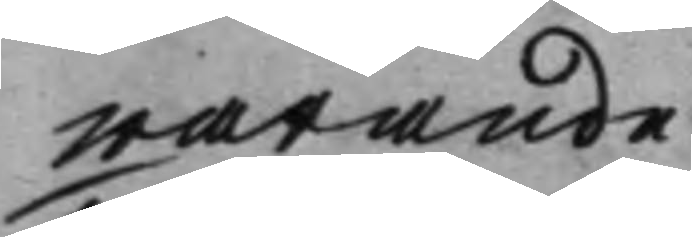warande.
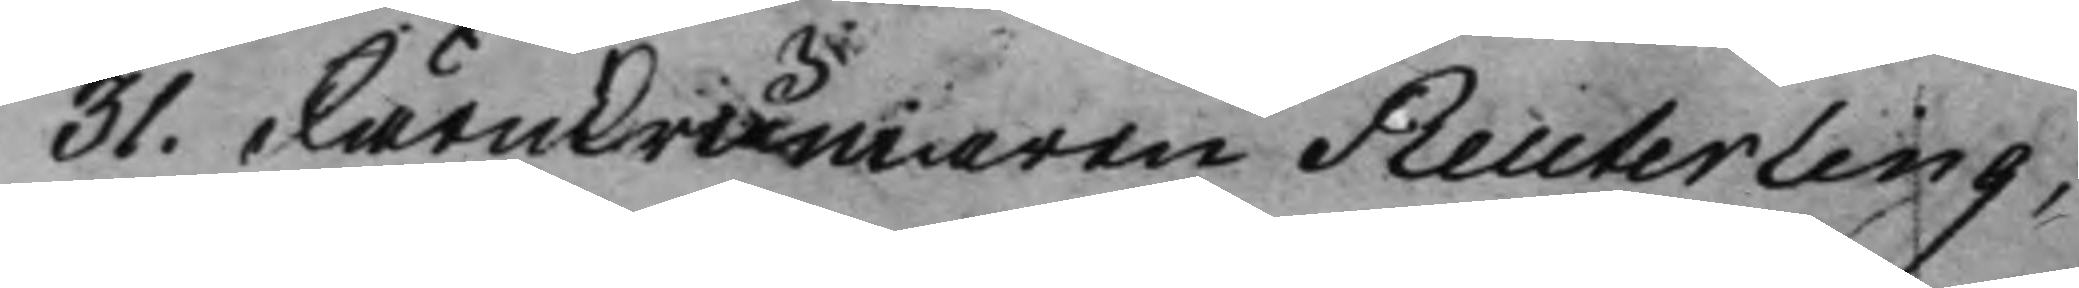31. Järnkrämaren Reuterling;
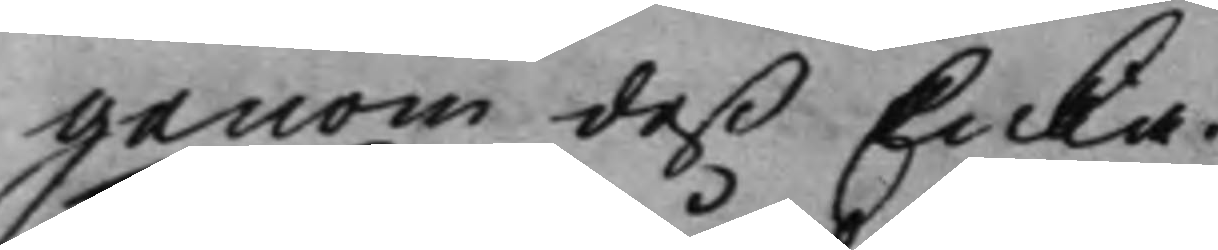genom deß Enka.
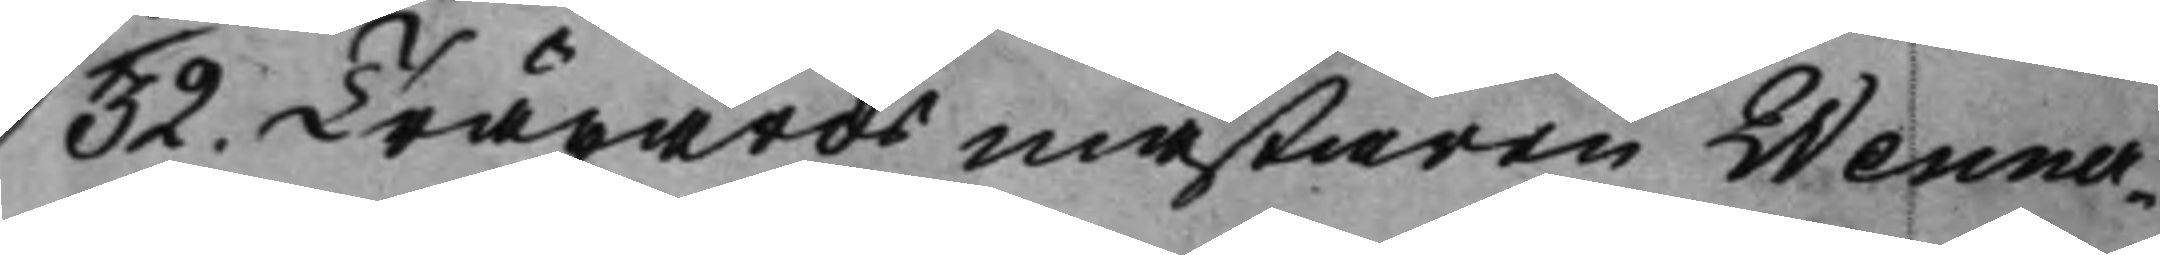32. Trägårdsmästaren Wenner¬
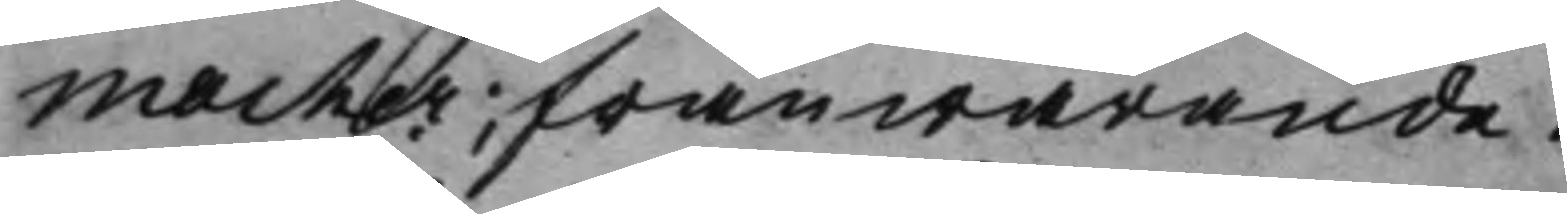macher, frånwarande.
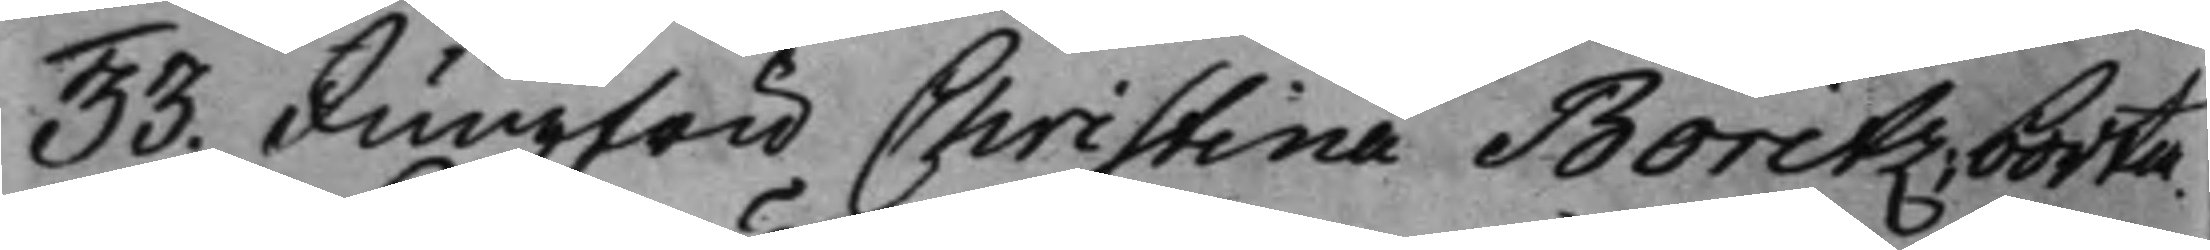33. Jungfru Christina Boritz; borta. 
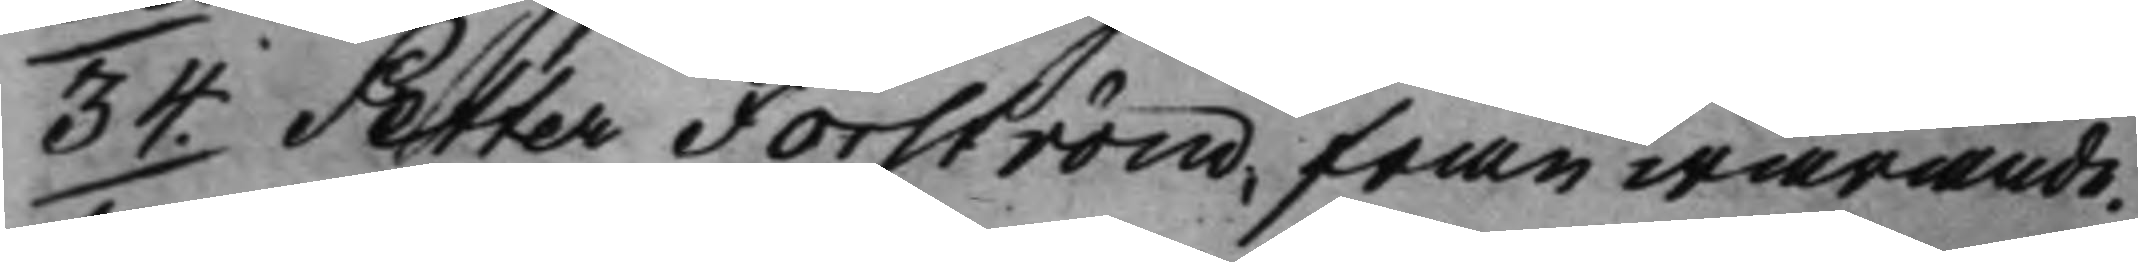34. Petter Forström, frånwarande. 
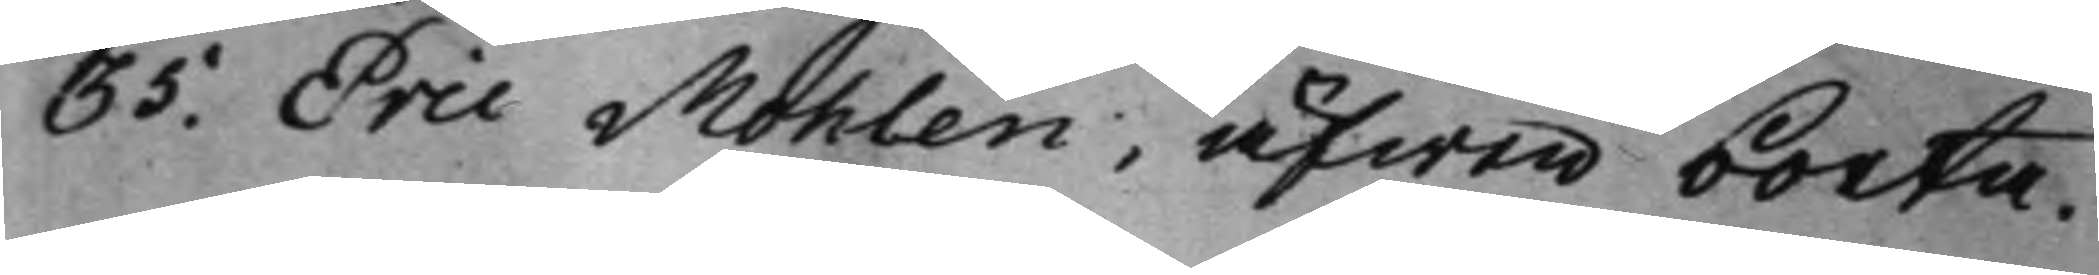35. Eric Mohlen, äfwen borta.
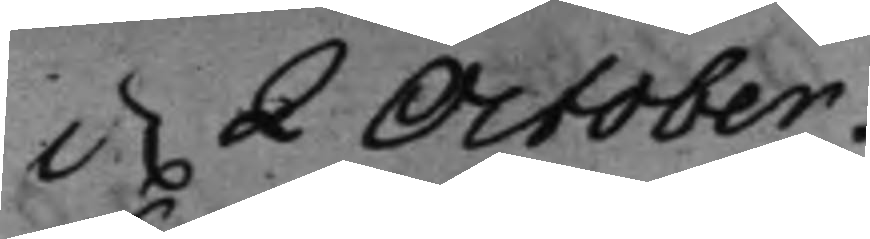d. 2 October. 
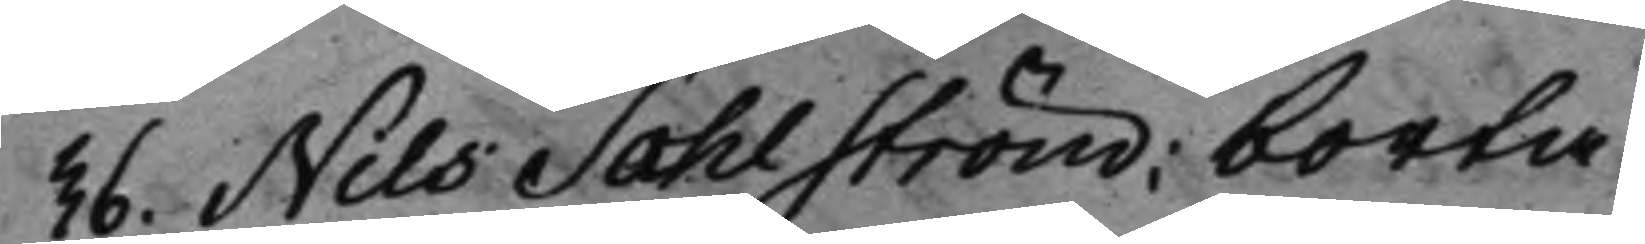36. Nils Sahlström; borta.
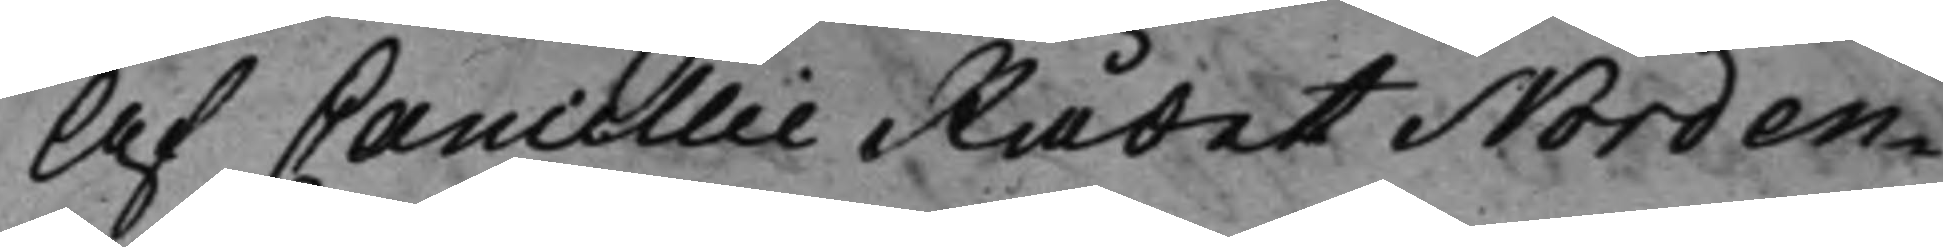Af CancellieRådet Norden¬
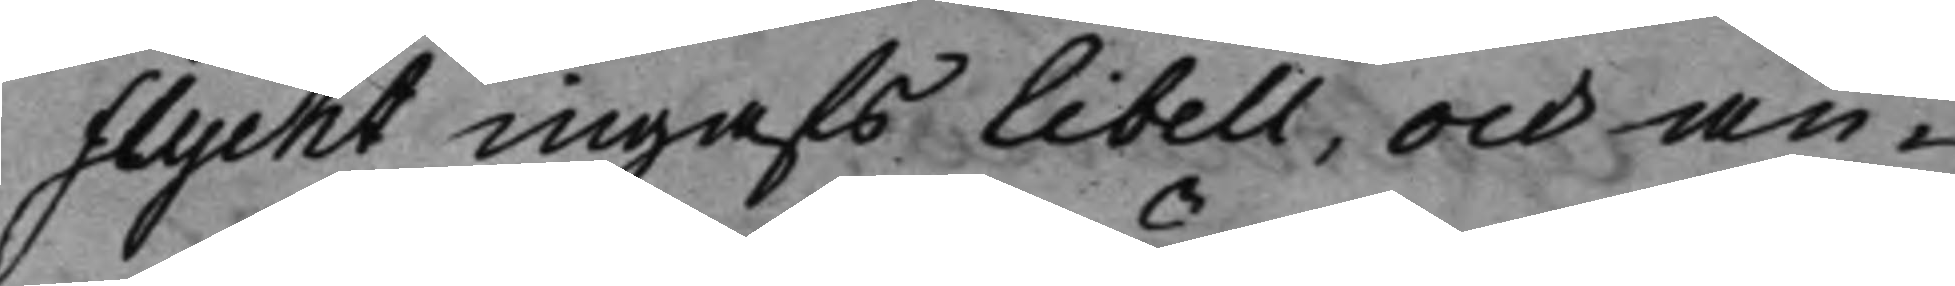flycht ingafs libell, och an¬
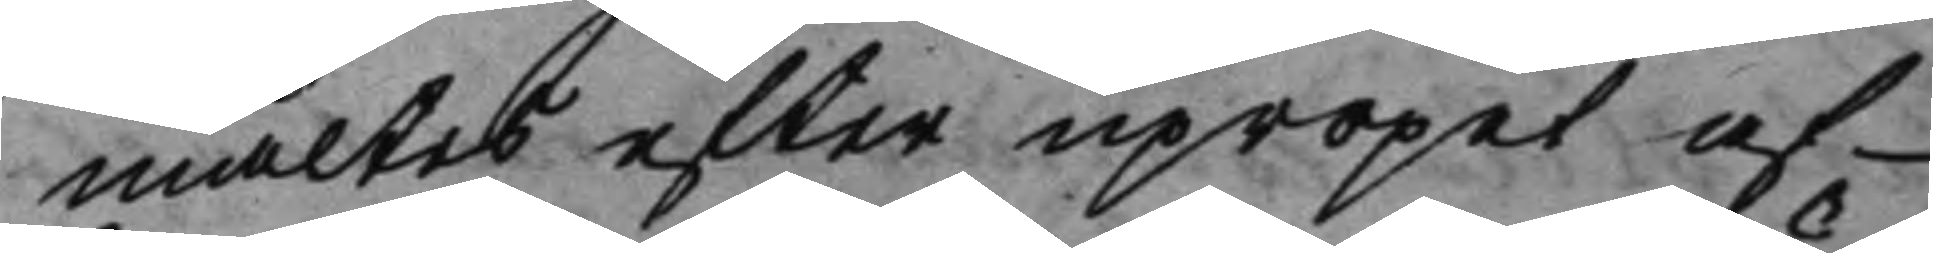mältes efter upropet af
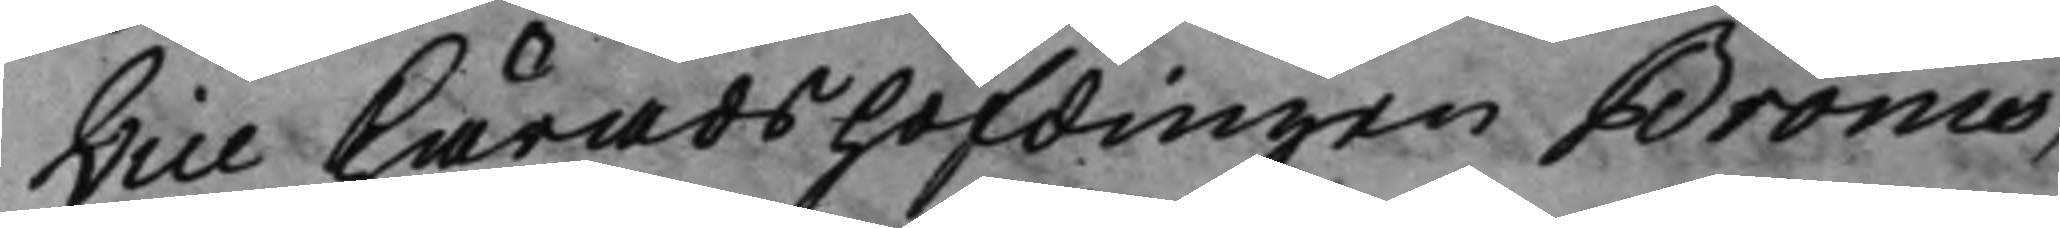Vice Häradshöfdingen Bröms,
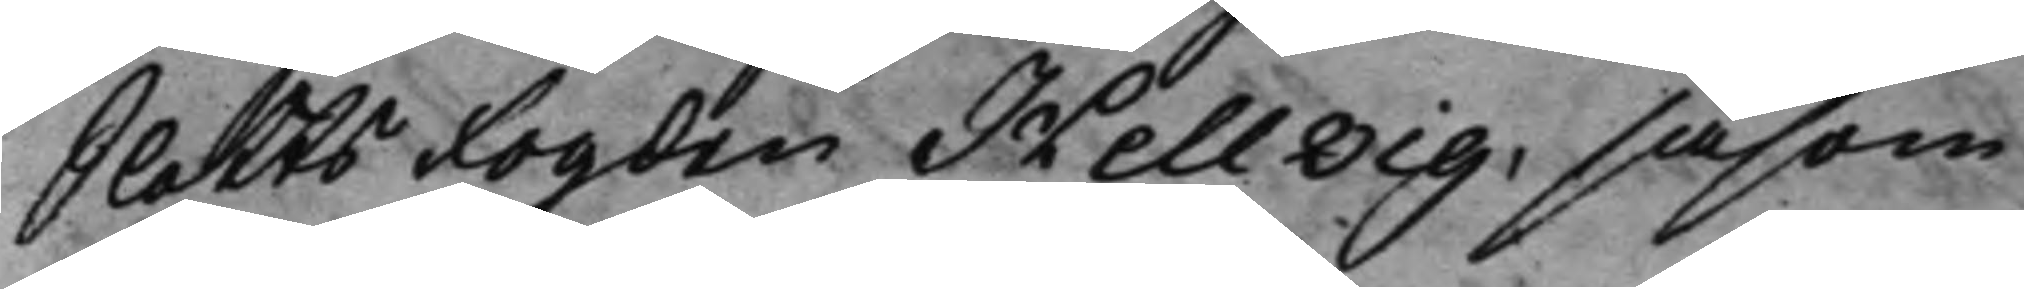SlottsFogden Hellvig, såsom
